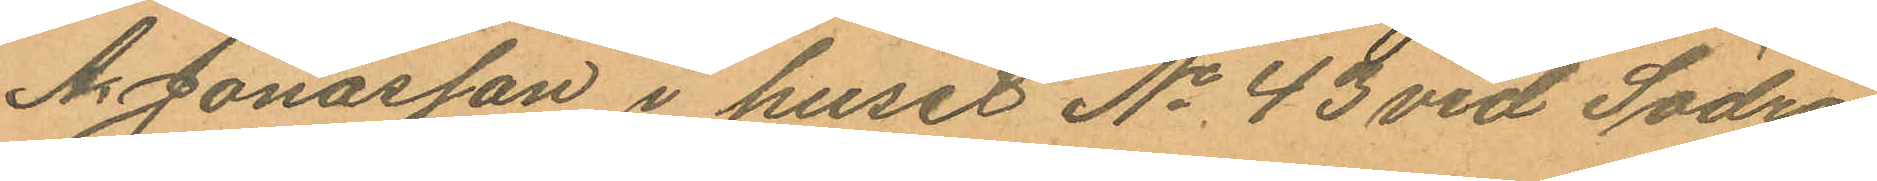A. Jonasson i huset No 43 vid Södra
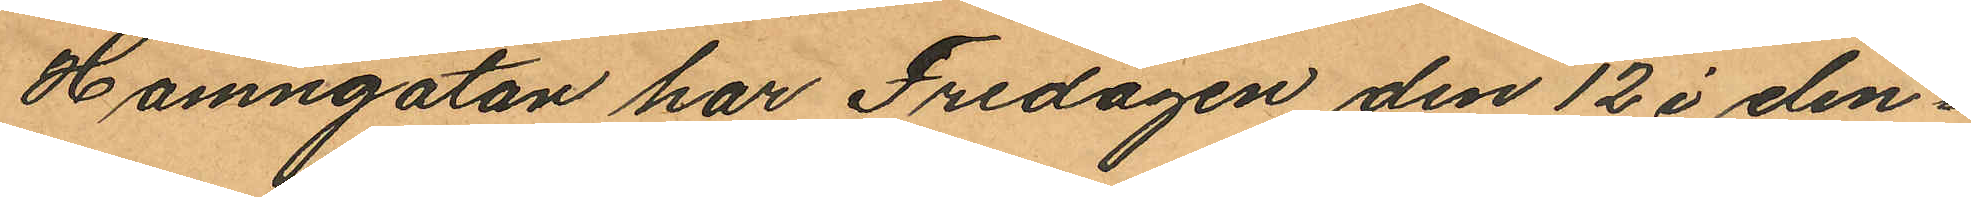Hamngatan har Fredagen den 12 i den¬
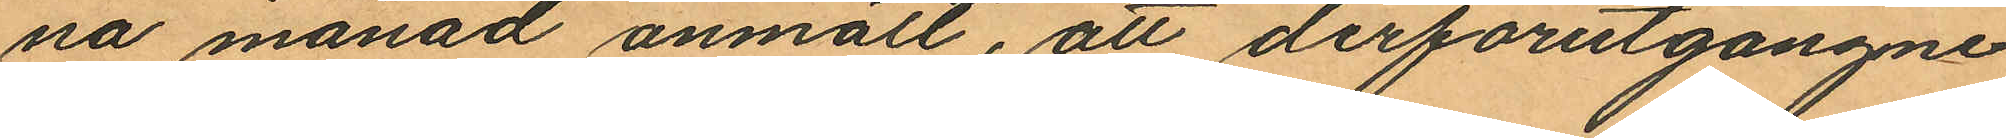na månad anmält, att derförutgångne
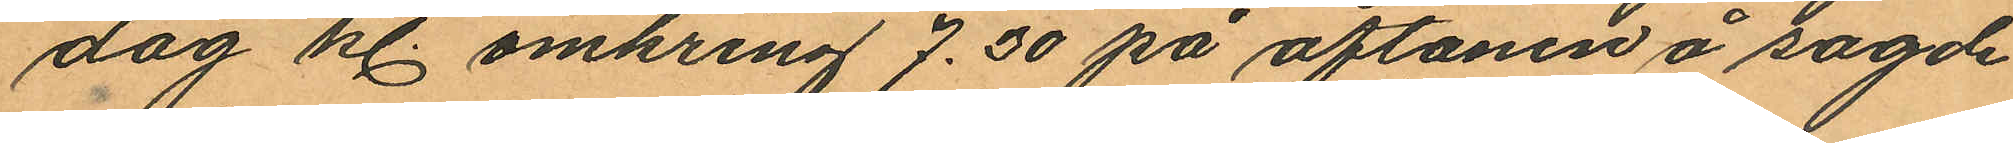dag kl. omkring 7.30 på aftonen å sagde
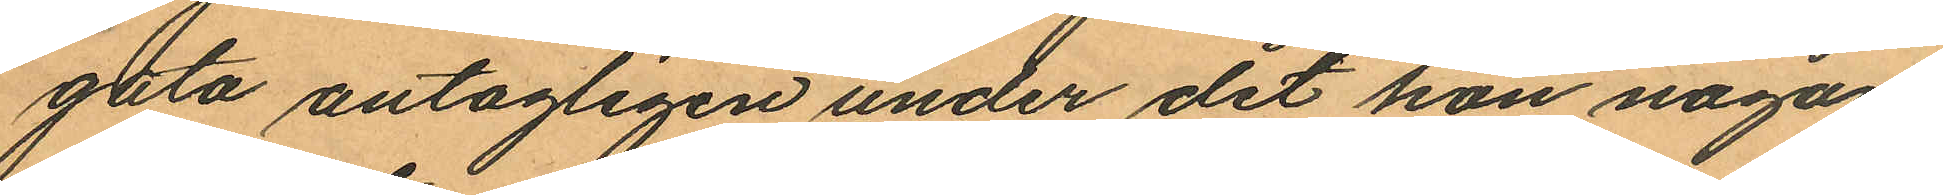gata antagligen under det hon någon
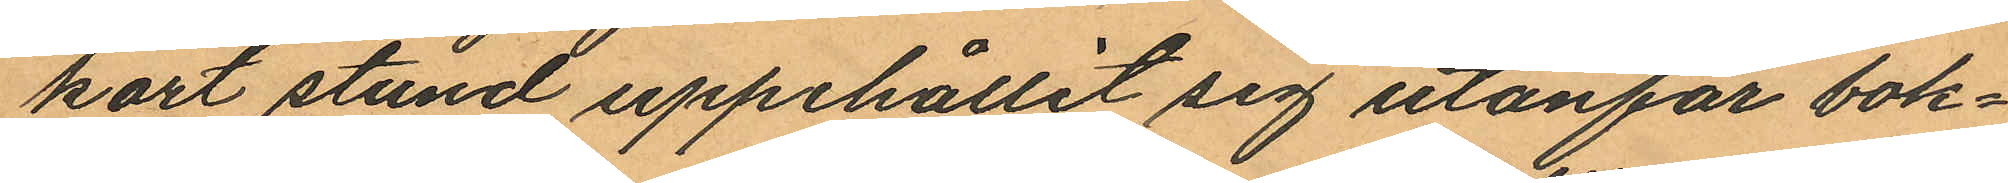kort stund uppehållit sig utanför bok¬
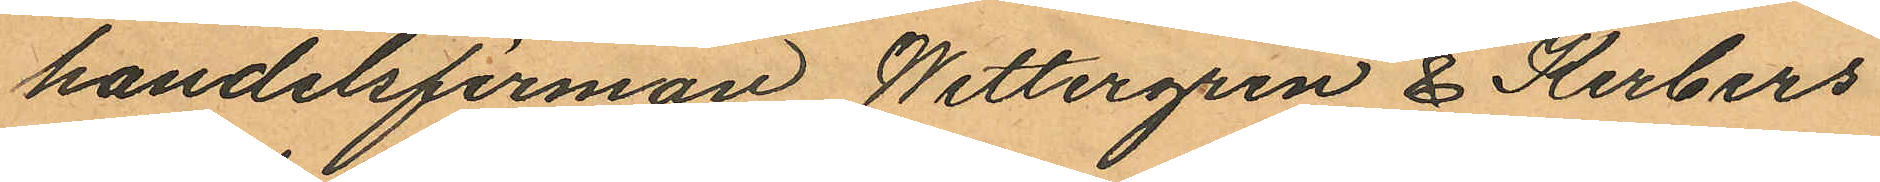handelsfirman Wettergren & Kerbers
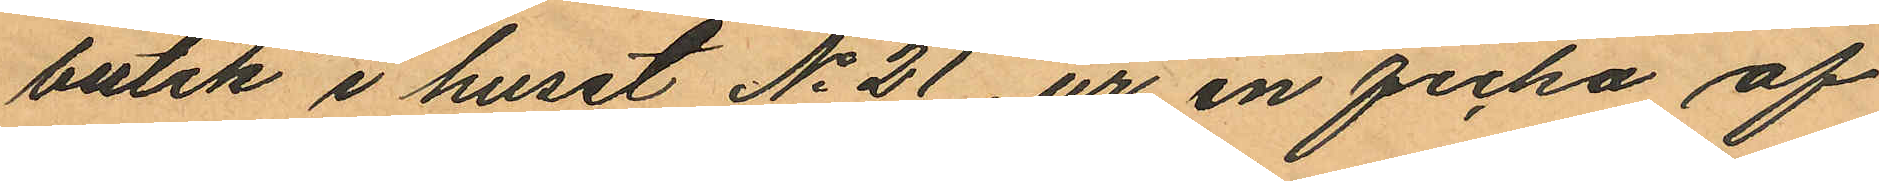butik i huset No 21, ur en ficka af
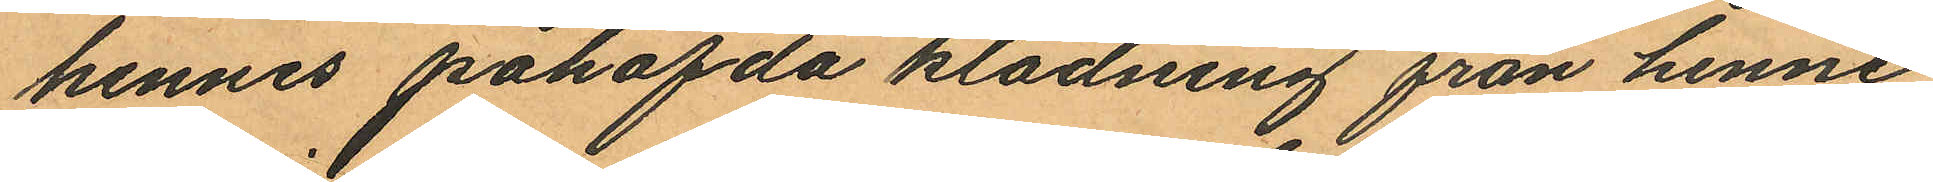hennes påhafda klädning från henne
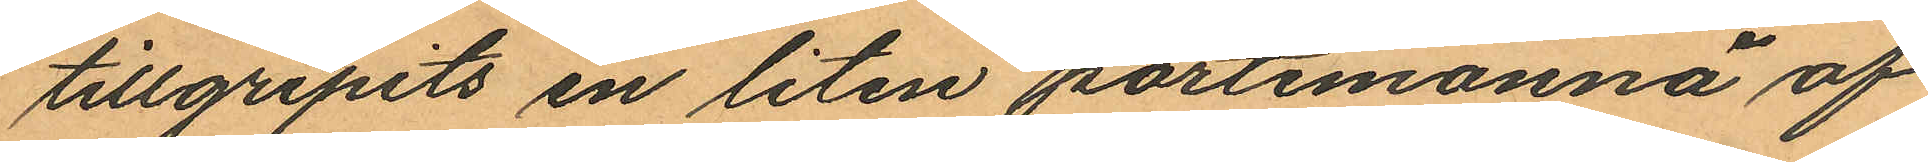tillgripits en liten portemonnä af
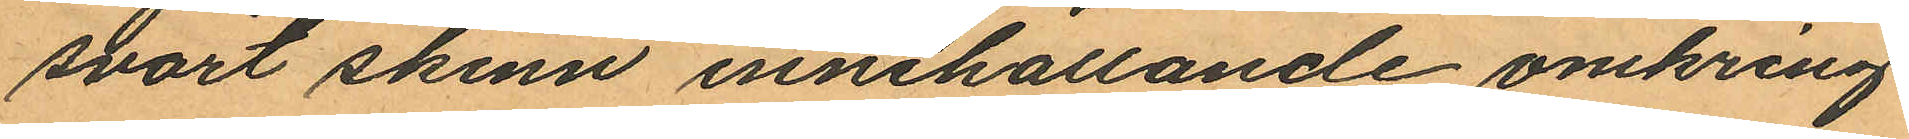svart skinn innehållande omkring
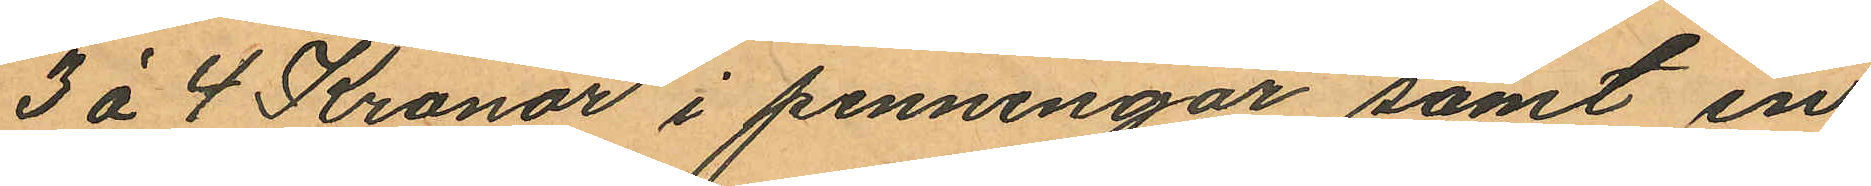3 á 4 Kronor i penningar samt en
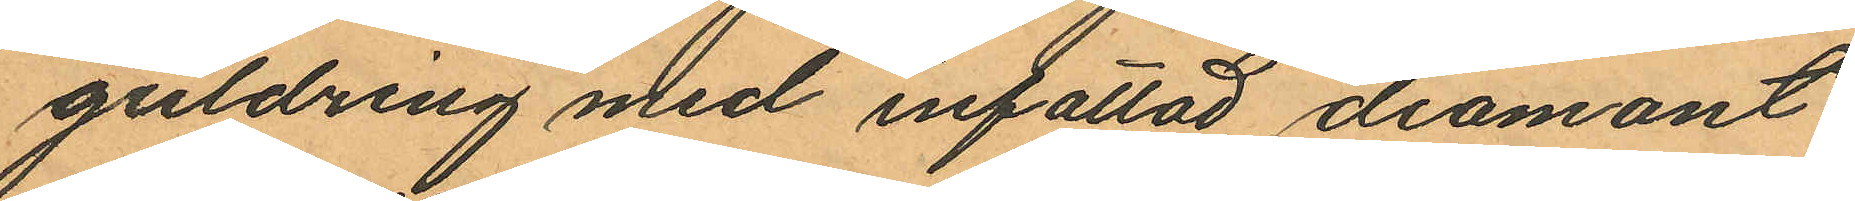guldring med infattad diamant
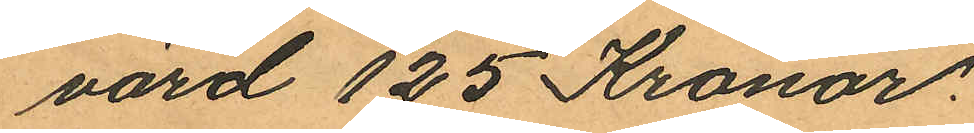värd 125 Kronor.
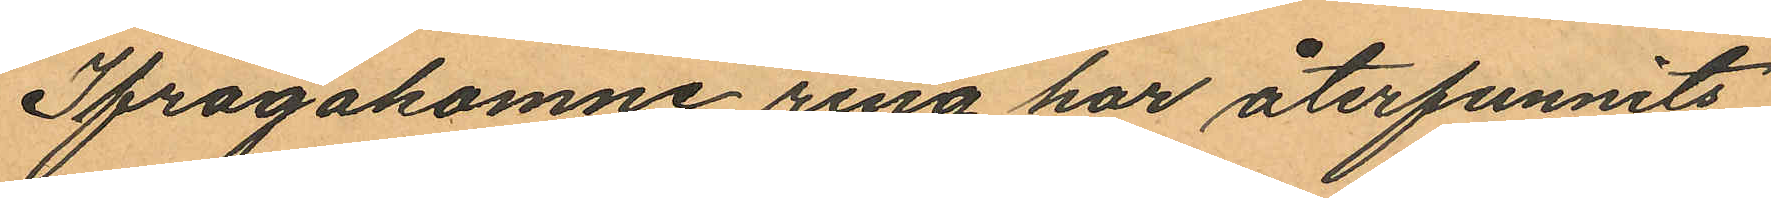Ifrågakomne ring har återfunnits
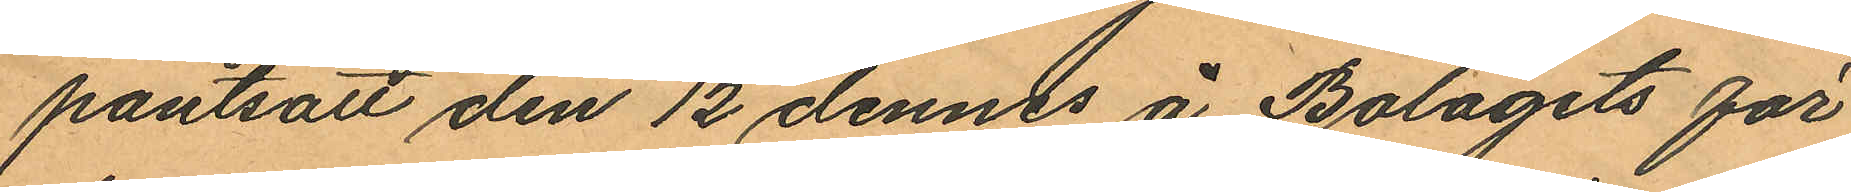pantsatt den 12 dennes å Bolagets för
